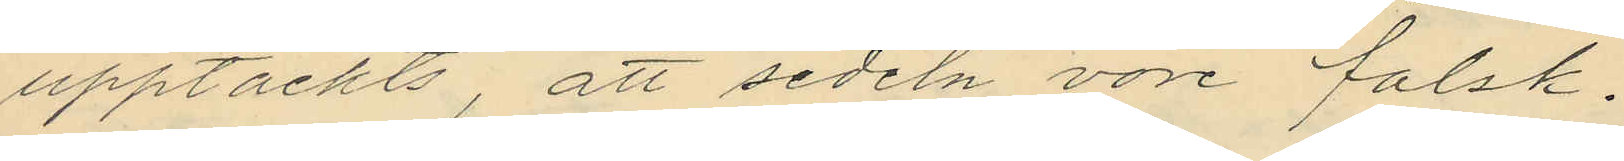upptäckts, att sedeln vore falsk.
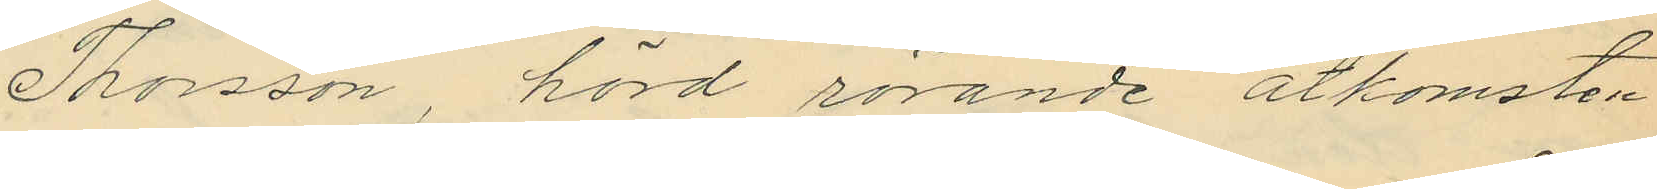Thorsson, hörd rörande åtkomsten
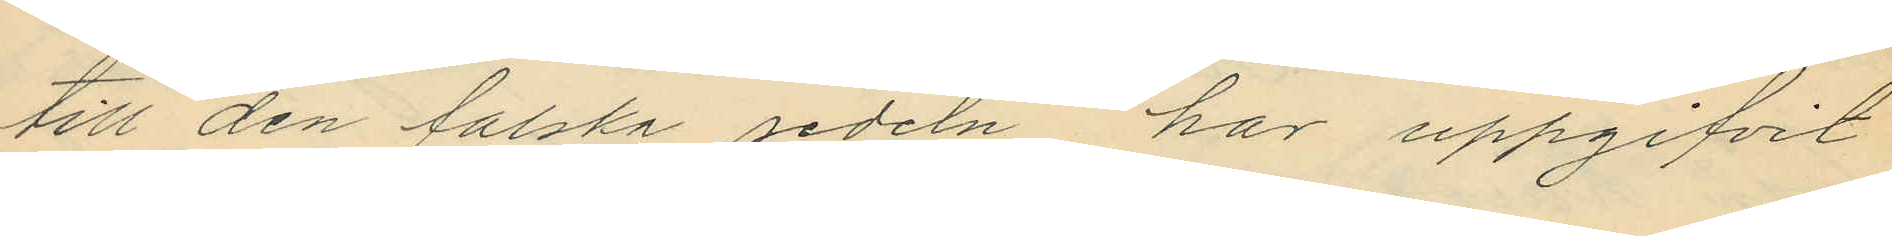till den falska sedeln, har uppgifvit
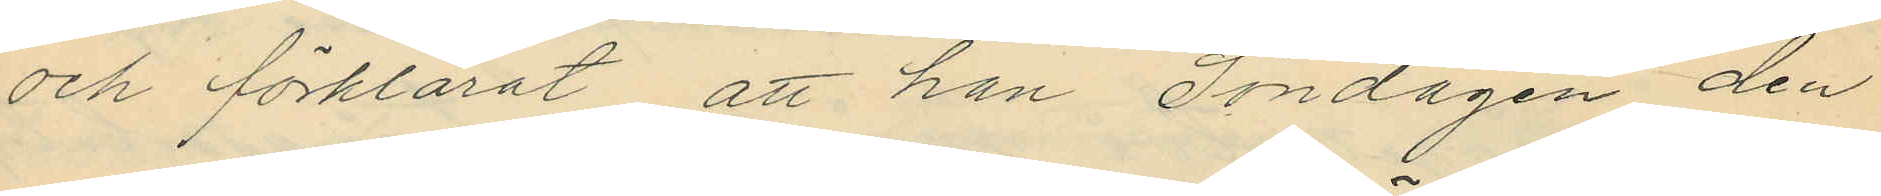och förklarat, att han Söndagen den
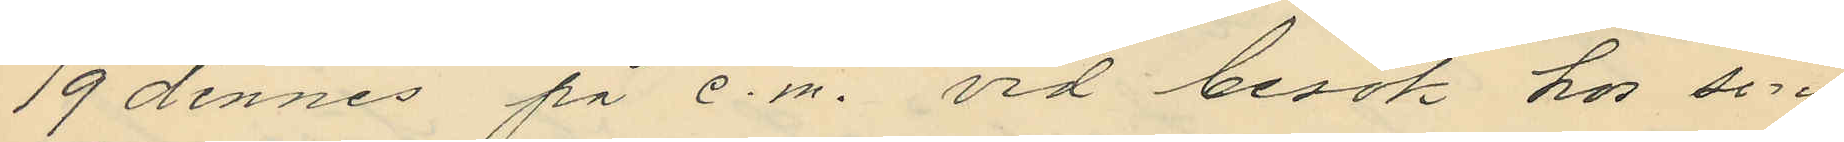19 dennes på e.m. vid besök hos sin
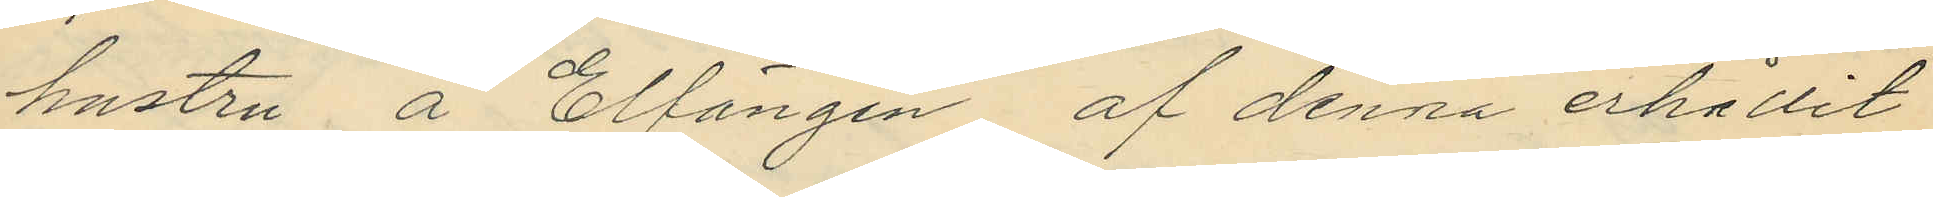hustru å Elfängen, af denna erhålit
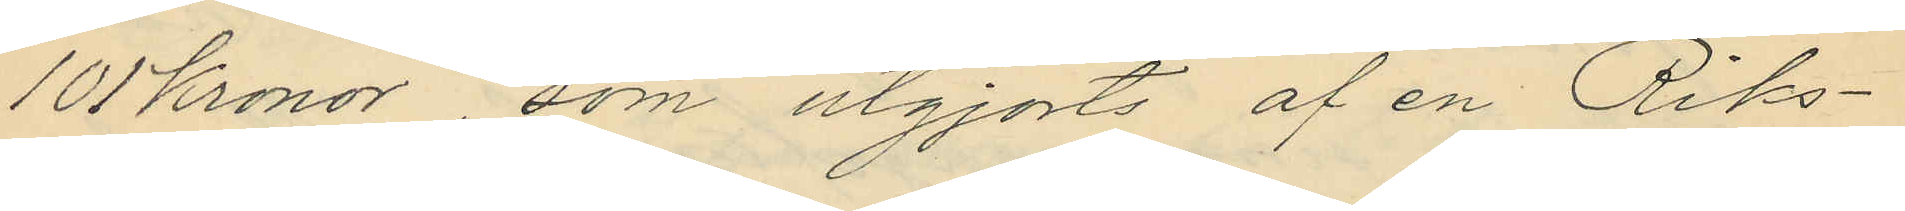101 Kronor, som utgjorts af en Riks¬
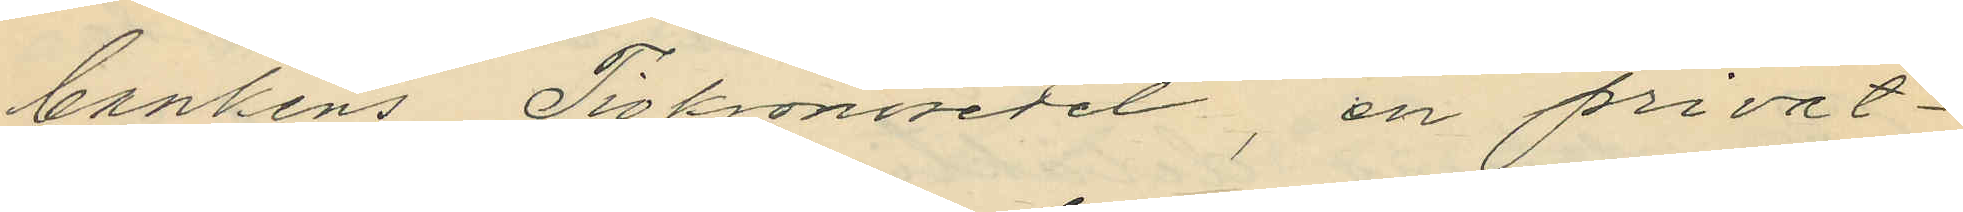bankens Tiokronosedel, en privat¬
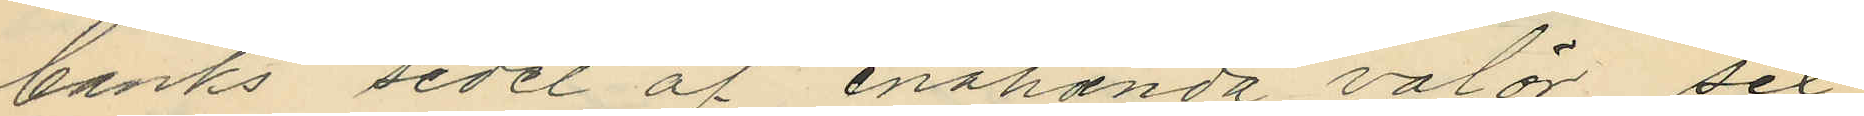banks sedel af enahanda valör, sex
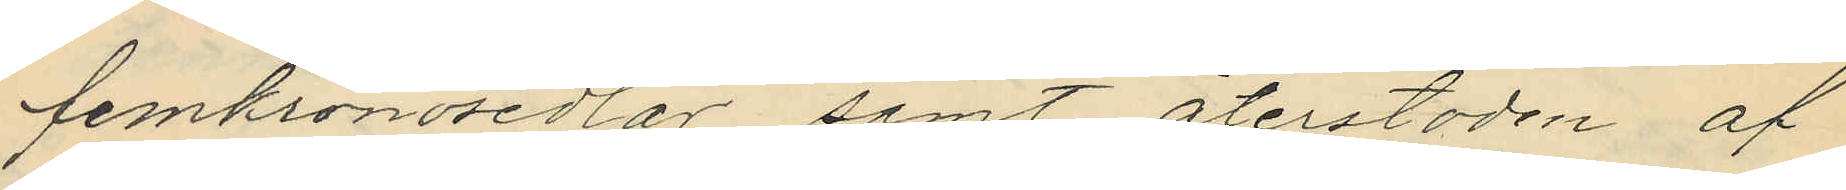femkronosedlar samt återstoden af
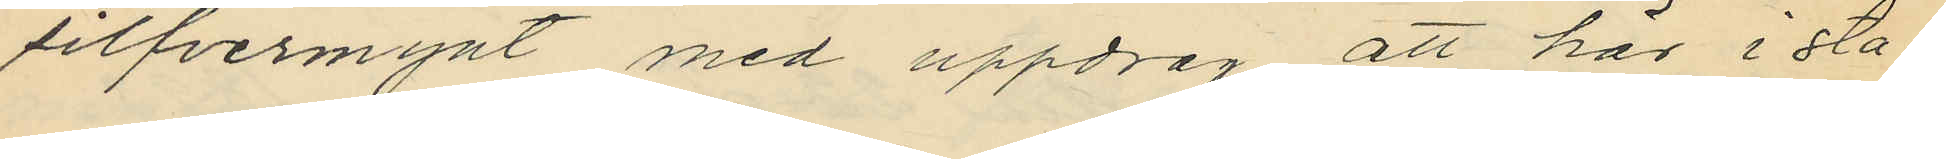silfvermynt med uppdrag att här i sta¬
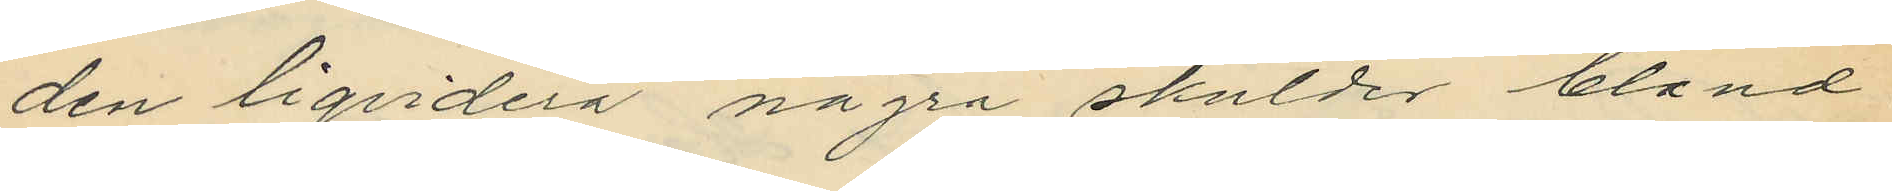den liqvidera några skulder bland
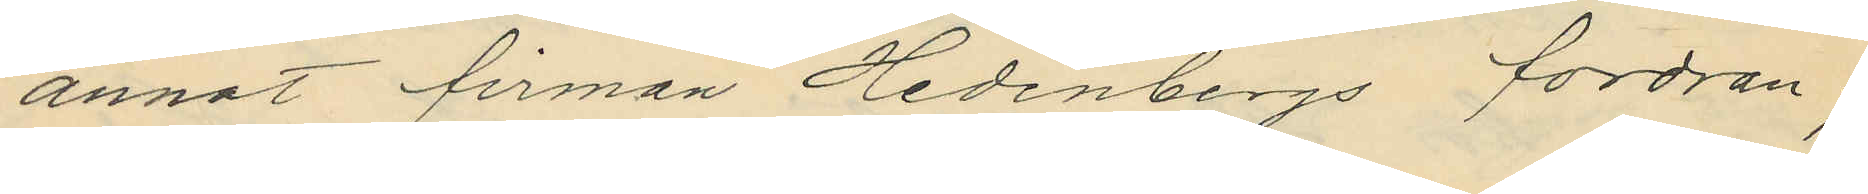annat firman Hedenbergs fordran;
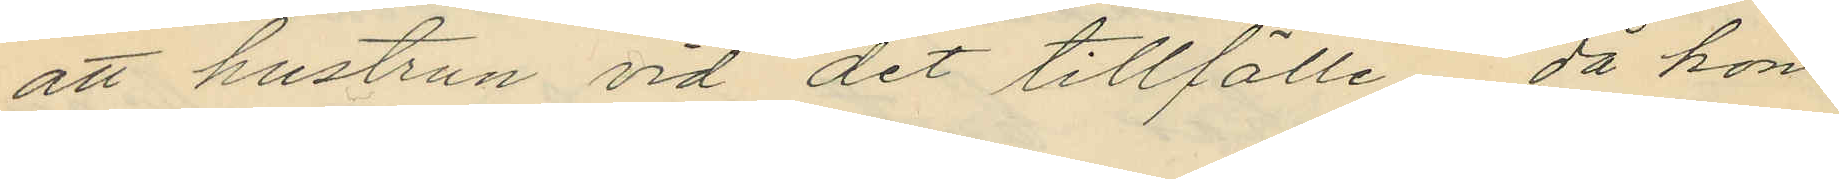att hustrun vid det tillfälle, då hon
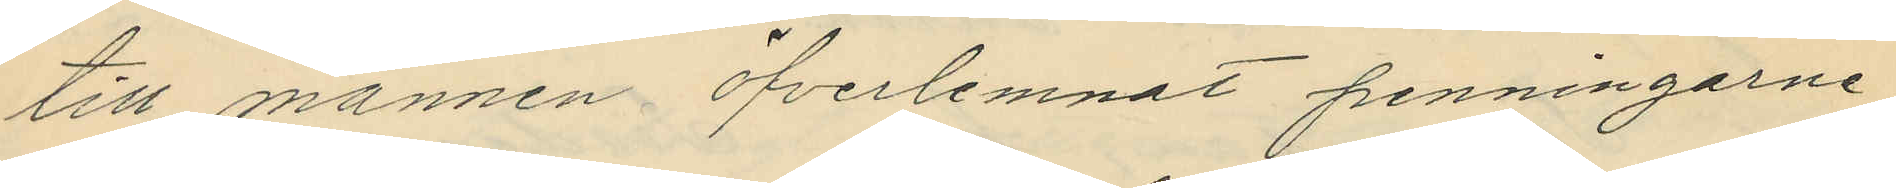till mannen öfverlemnat penningarne,
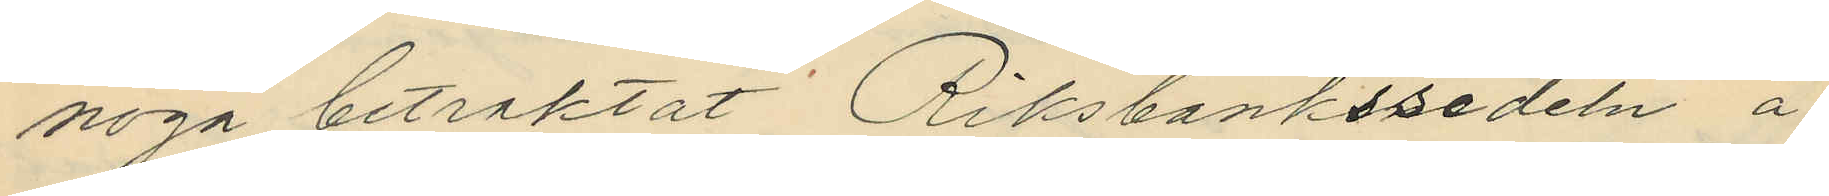noga betraktat Riksbankssedeln å
